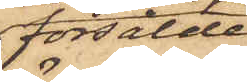försålde
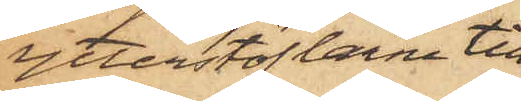ytterstöflarne till
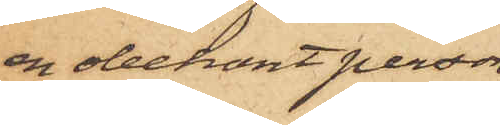en obekant person,
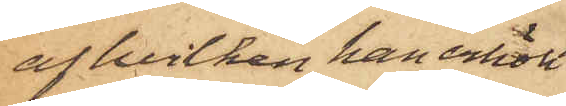af hvilken han erhöll
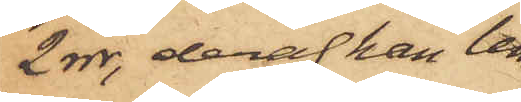2 rdr, deraf han lem¬
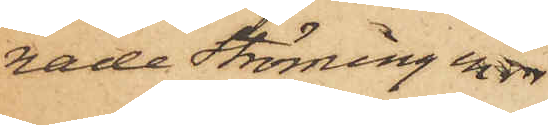nade Ströming en rdr
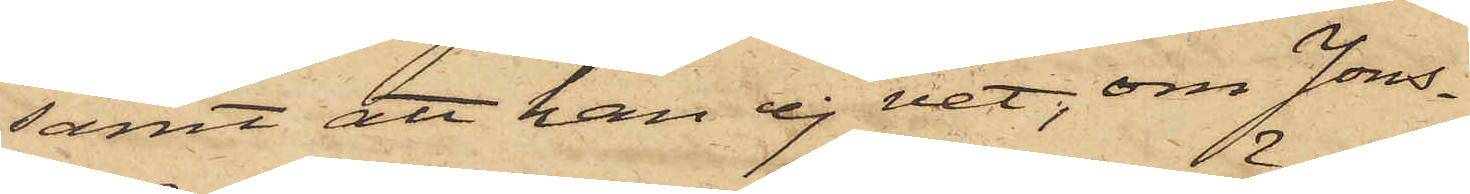samt att han ej vet, om Jons¬
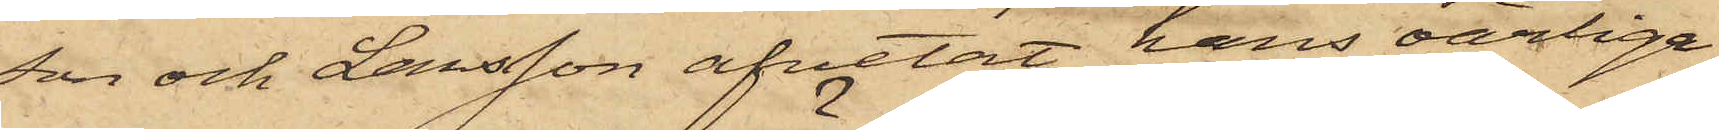son och Larsson afvetat hans oärlige
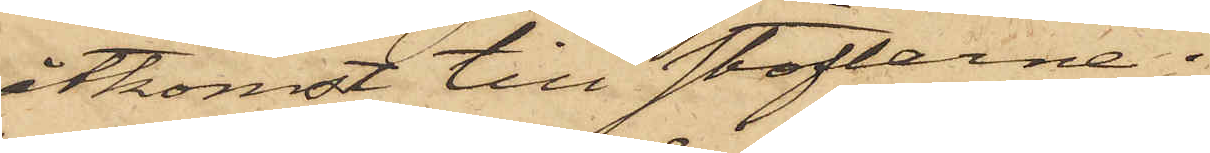åtkomst till stöflarne.
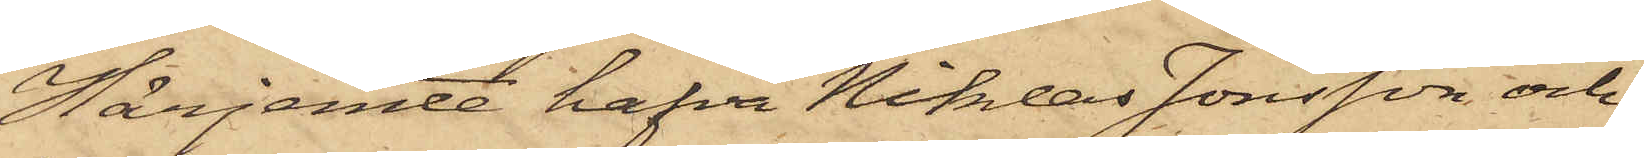Härjemte hafva Niklas Jonsson och
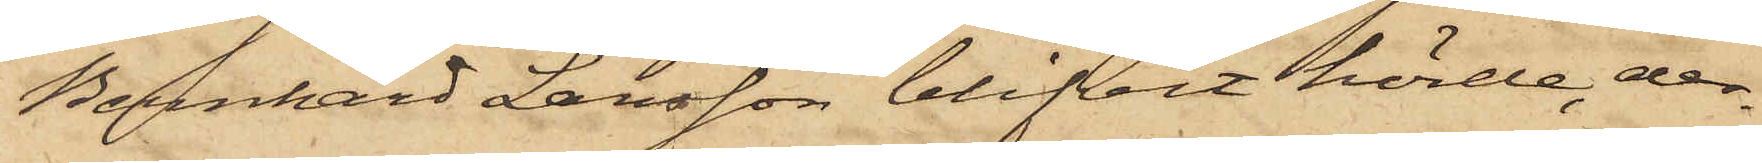Bernhard Larsson blifvit hörde, der¬
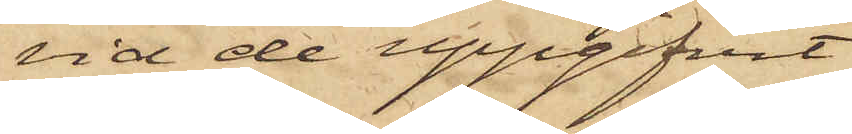vid de uppgifvit
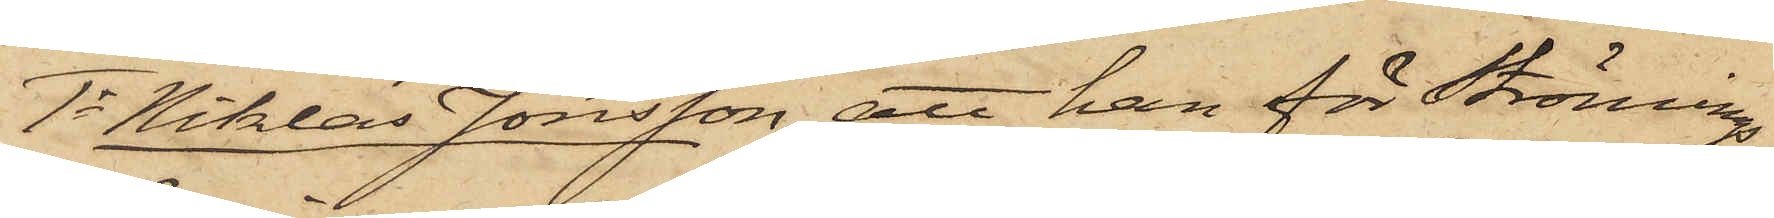1o Niklas Jonsson, att han för Strömings
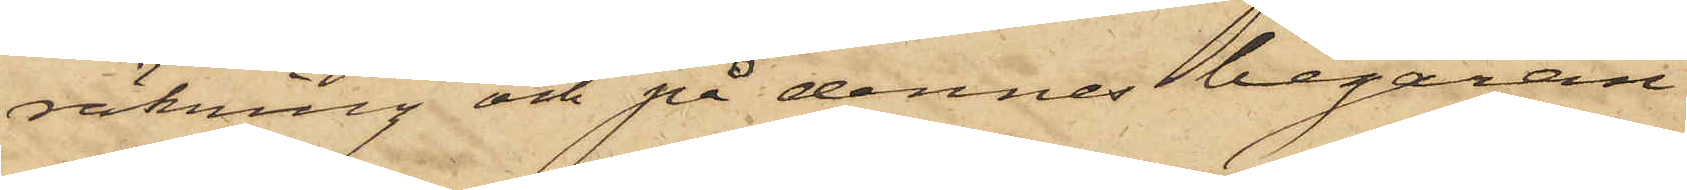räkning och på dennes begäran
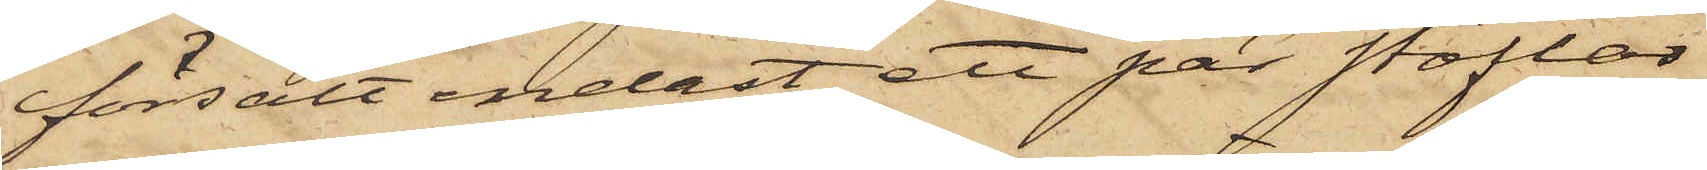försålt endast ett par stöflar
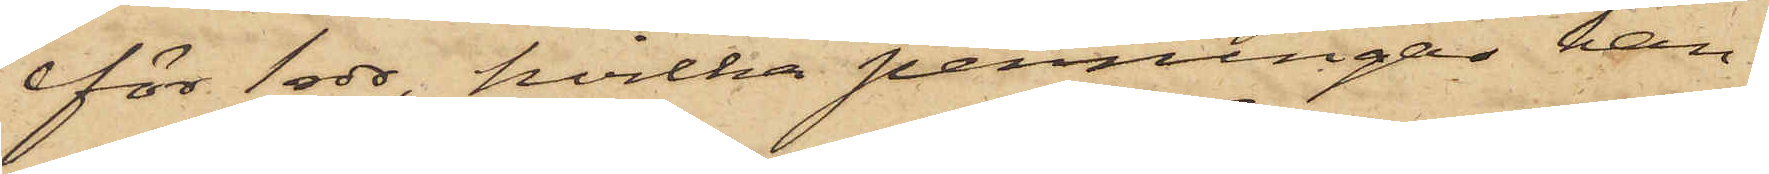för 1 rdr, hvilka penningar han
